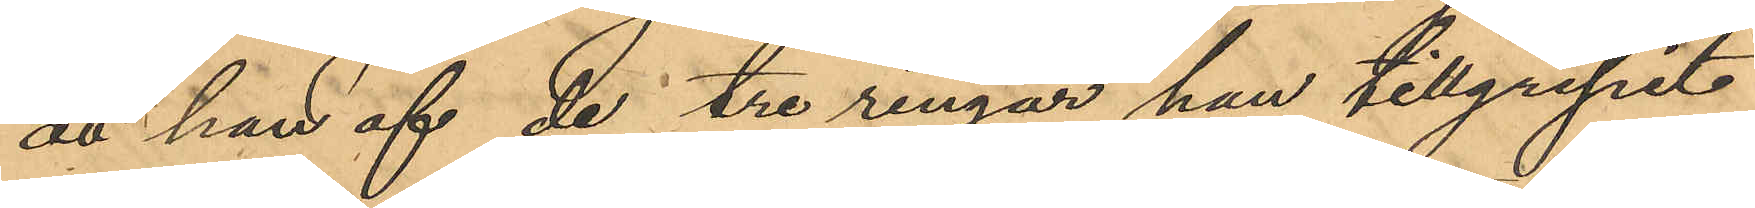att han af de tre ringar han tillgripit
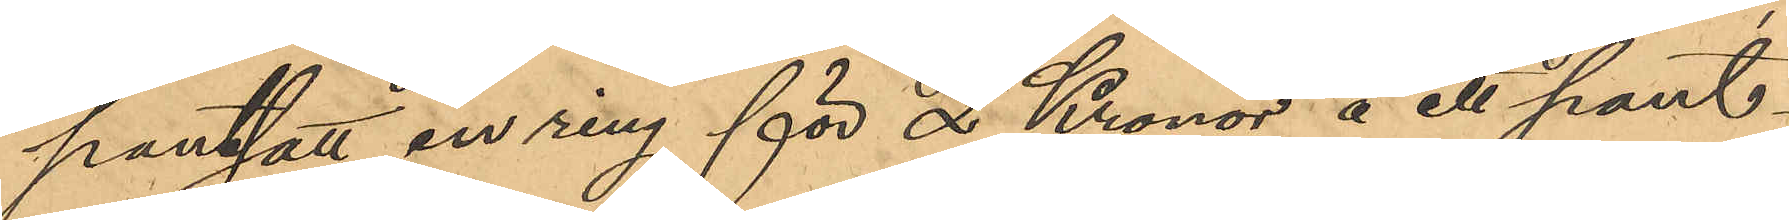pantsatt en ring för 2 Kronor å ett pant¬
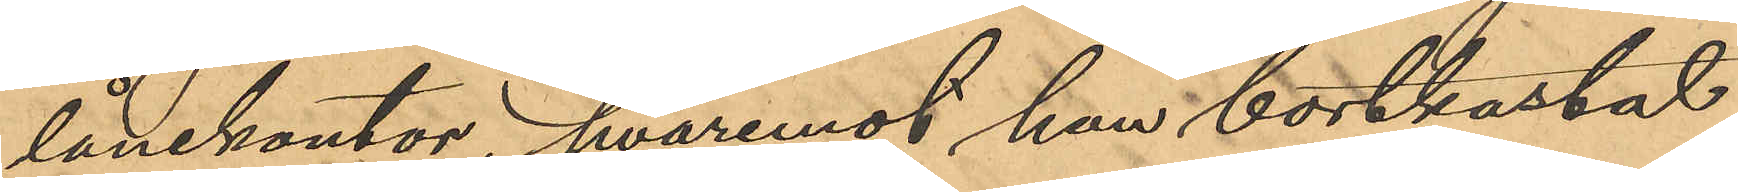lånekontor, hvaremot han bortkastat
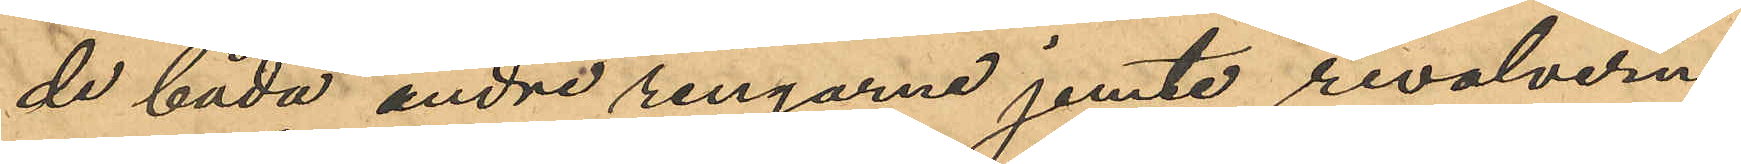de båda andre ringarne jemte revolvern
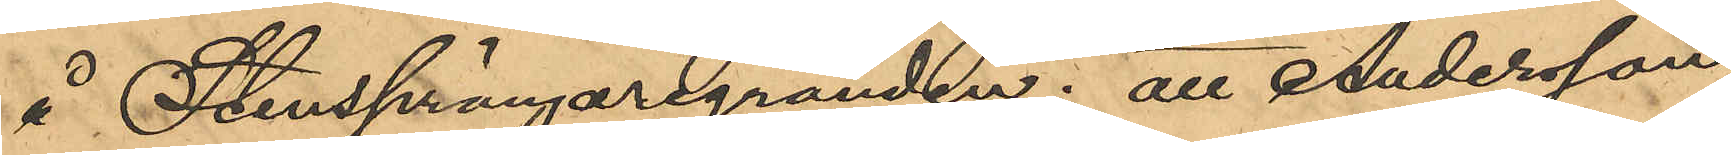å Stensprängaregränden; att Andersson,
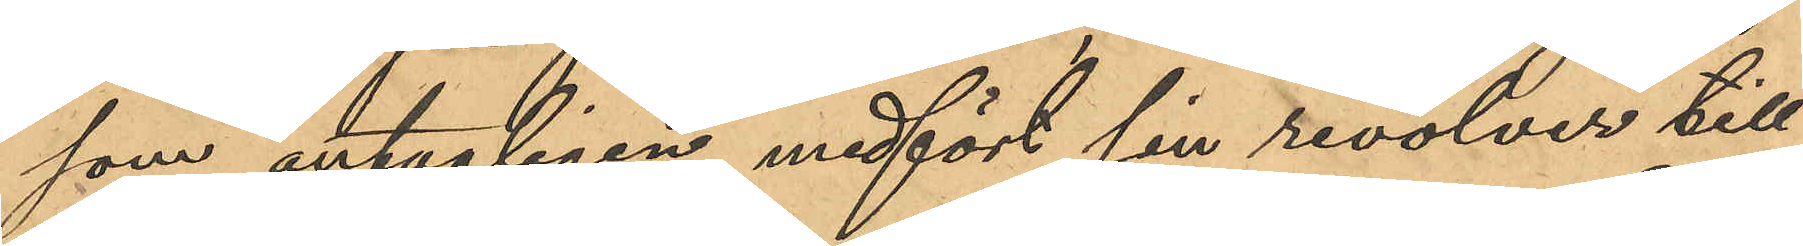som antagligen medfört sin revolver till
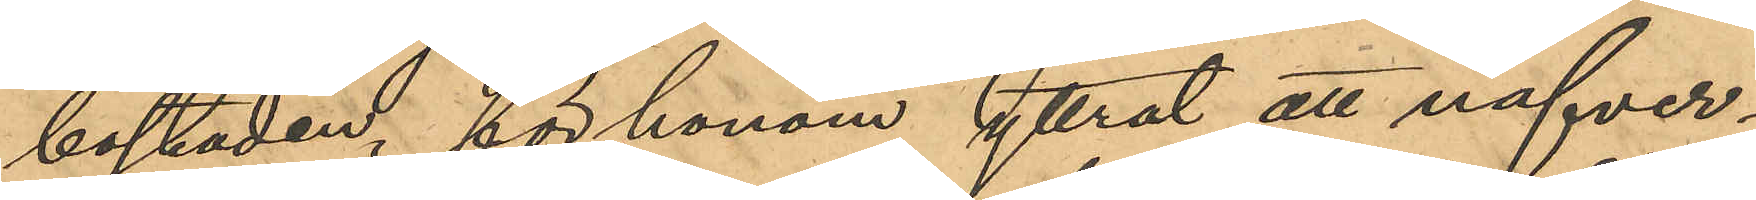bostaden, för honom yttrat att nafver¬
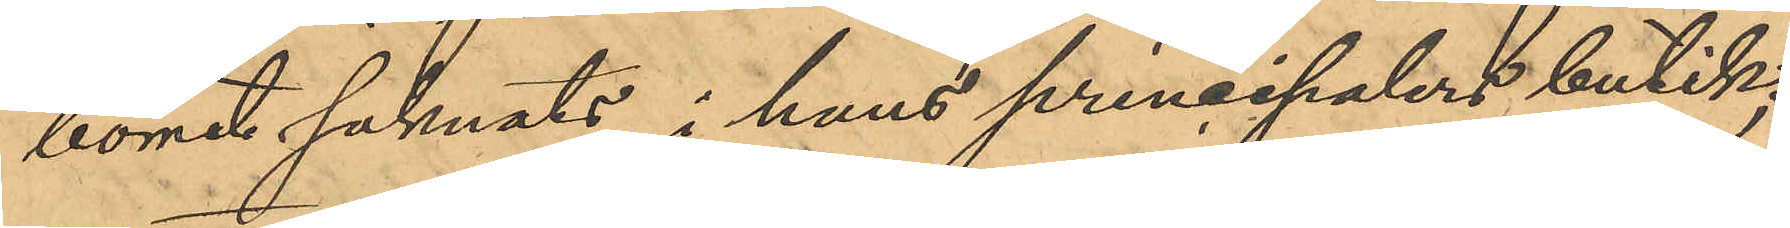borret saknats i hans principalers butik;
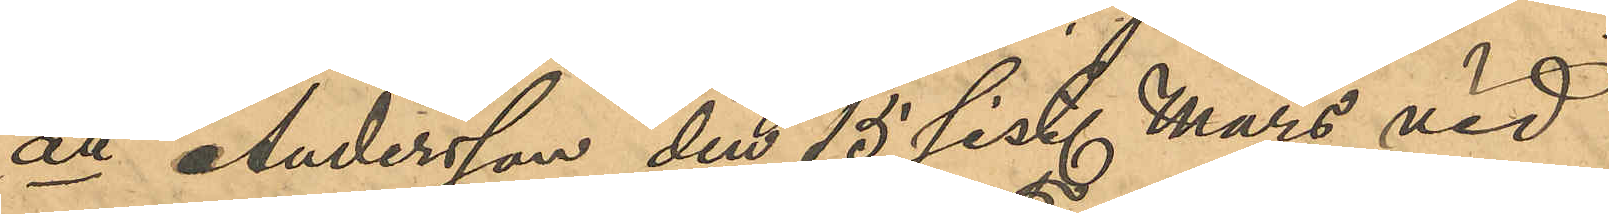att Andersson den 15 sist. Mars vid
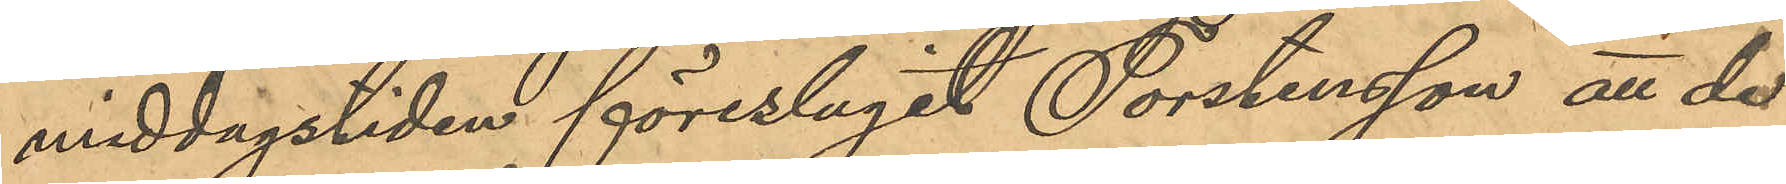middagstiden föreslagit Torstensson att de
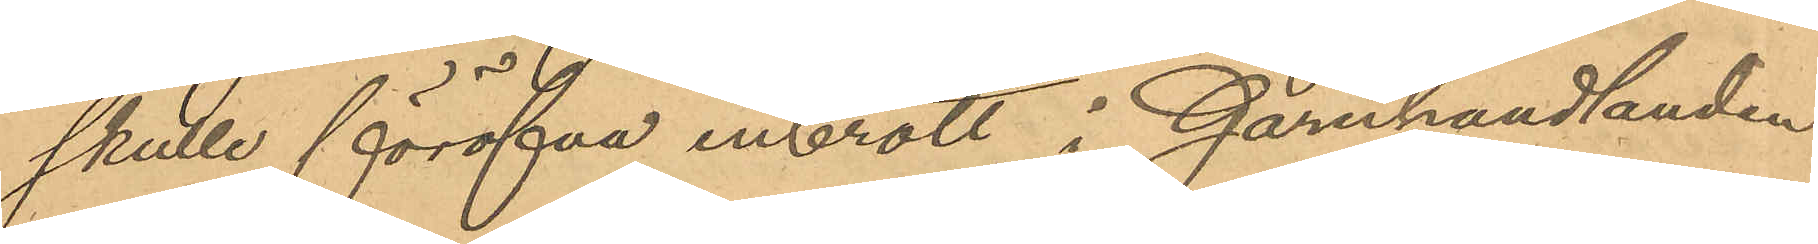skulle föröfva inbrott i Garnhandlanden
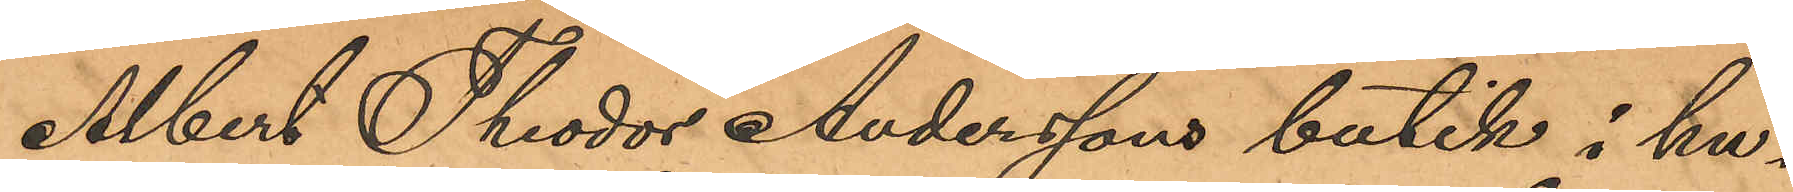Albert Theodor Anderssons butik i hu¬
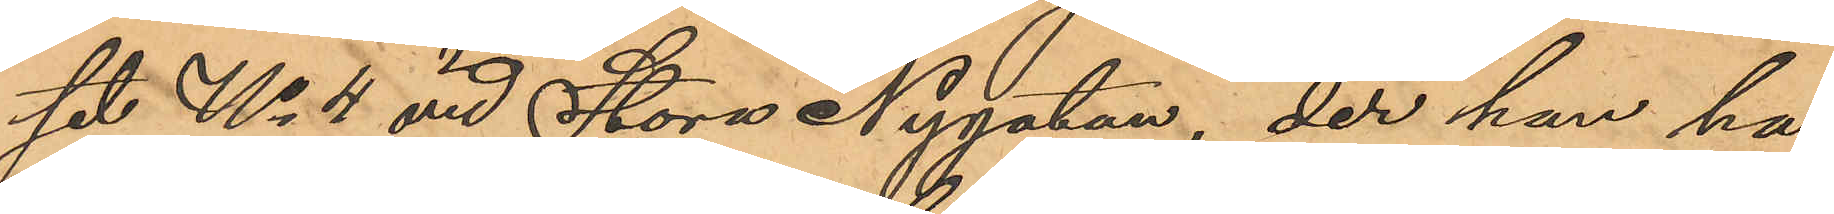set No 4 vid Stora Nygatan, der han ha¬
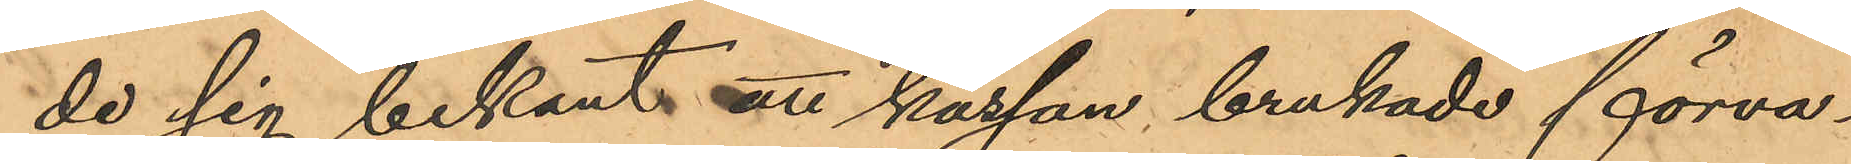de sig bekant att kassan brukade förva¬
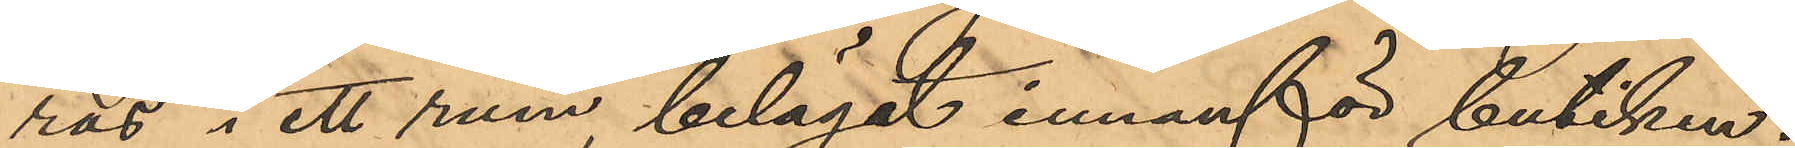ras i ett rum, beläget innanför butiken;
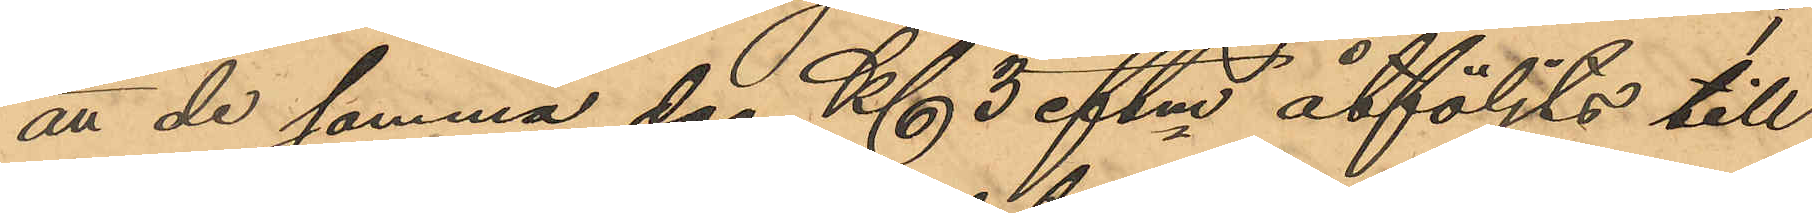att de samma dag Kl 3 eftm åtföljts till
